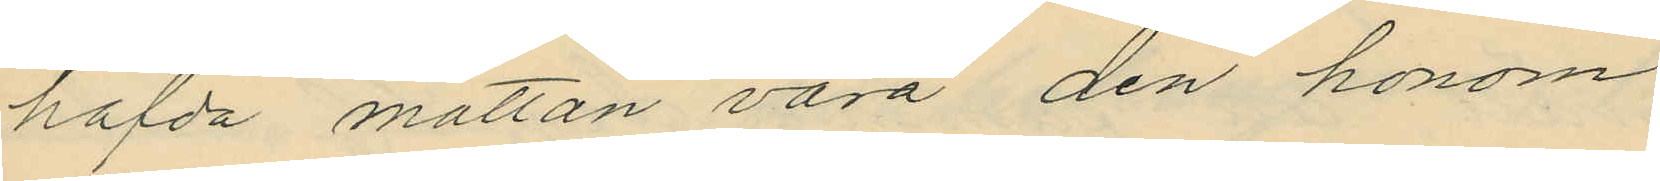hafda mattan vara den honom
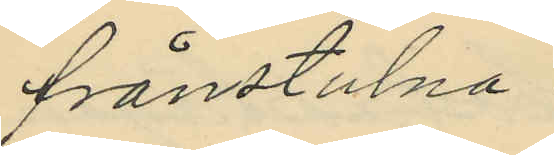frånstulna.
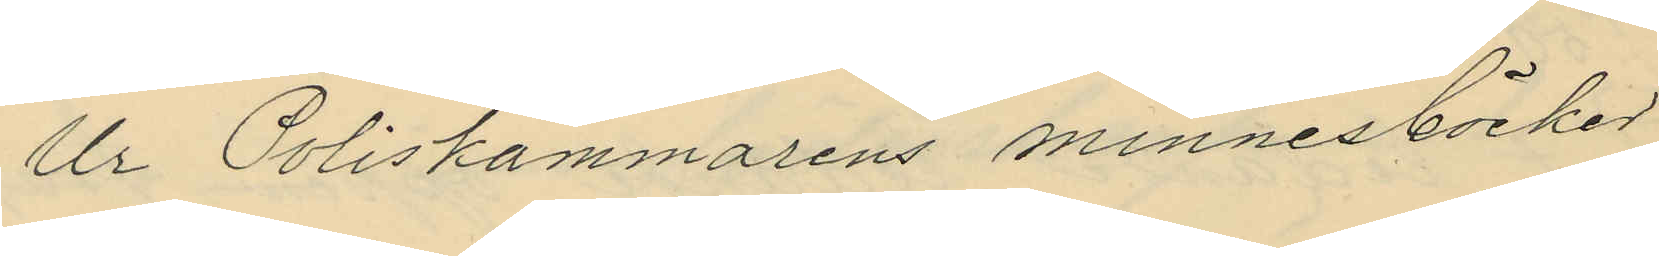Ur Poliskammarens minnesböcker
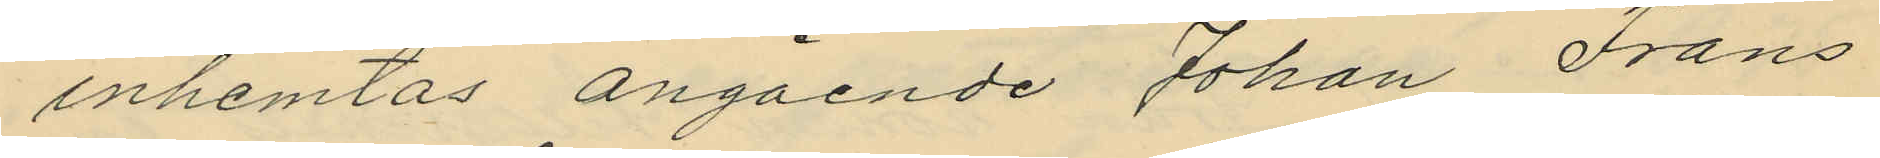inhemtas angående Johan Frans
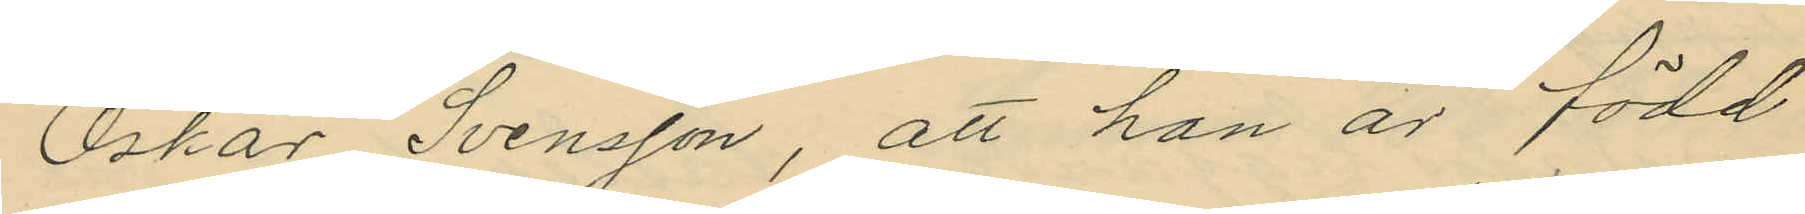Oskar Svensson, att han är född
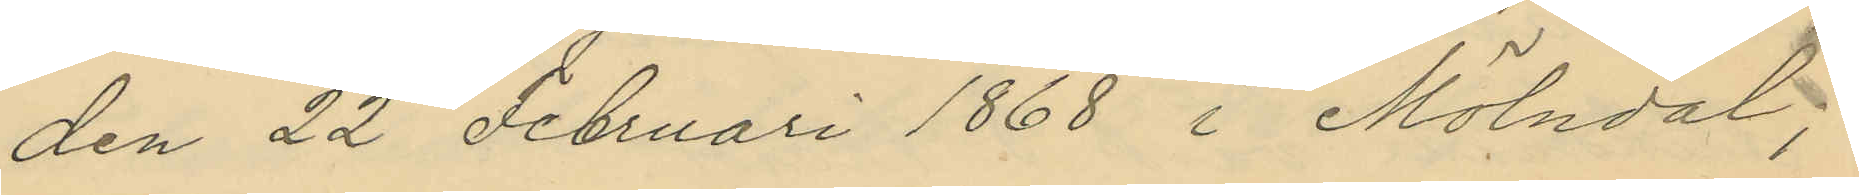den 22 Februari 1868 i Mölndal,
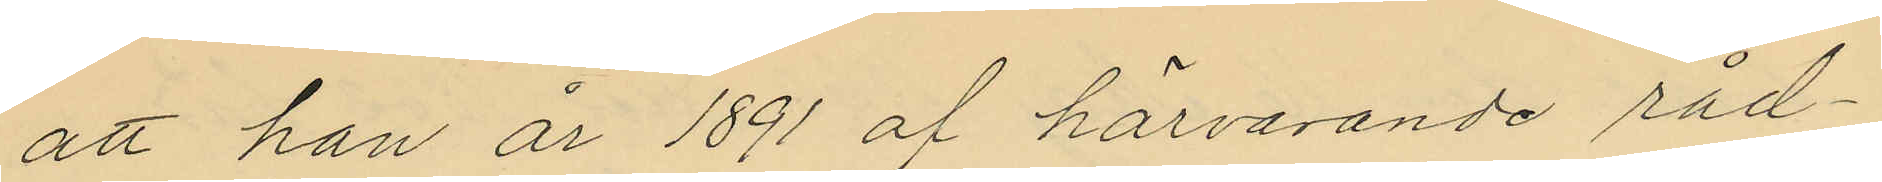att han år 1891 af härvarande råd¬
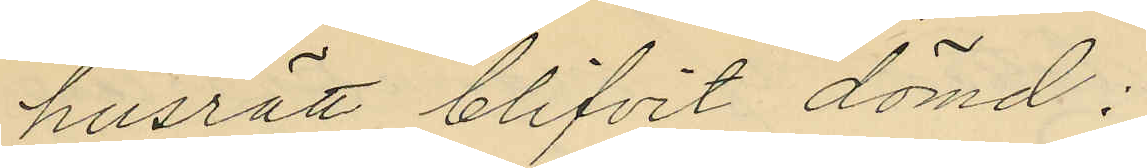husrätt blifvit dömd:
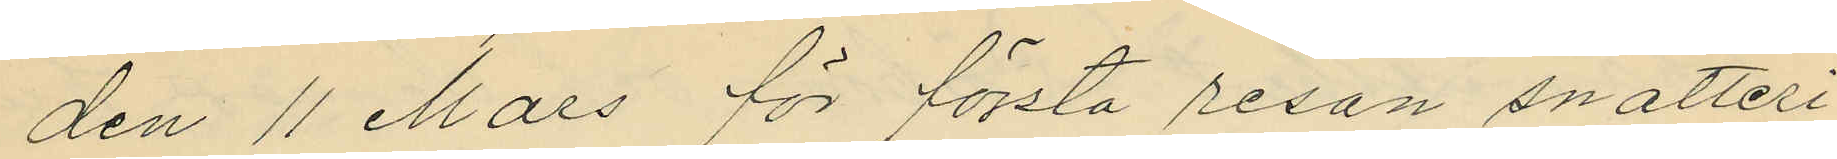den 11 Mars för första resan snatteri
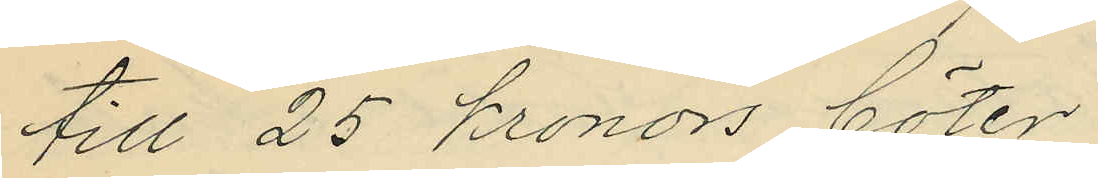till 25 Kronors böter,
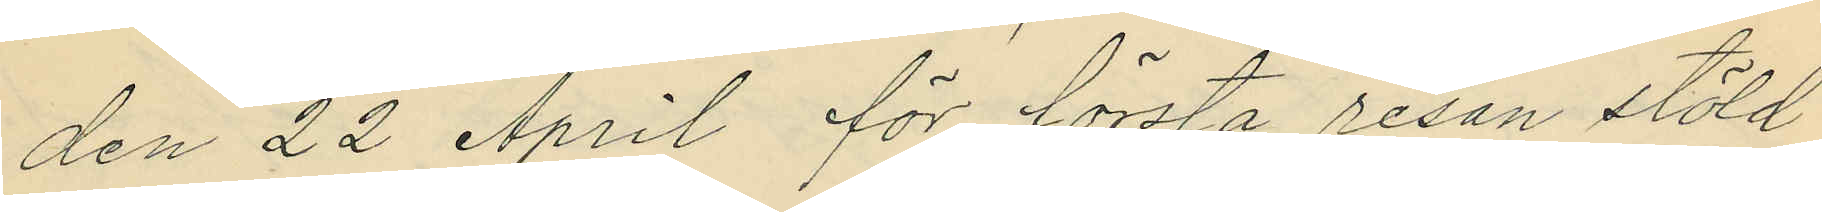den 22 April för första resan stöld
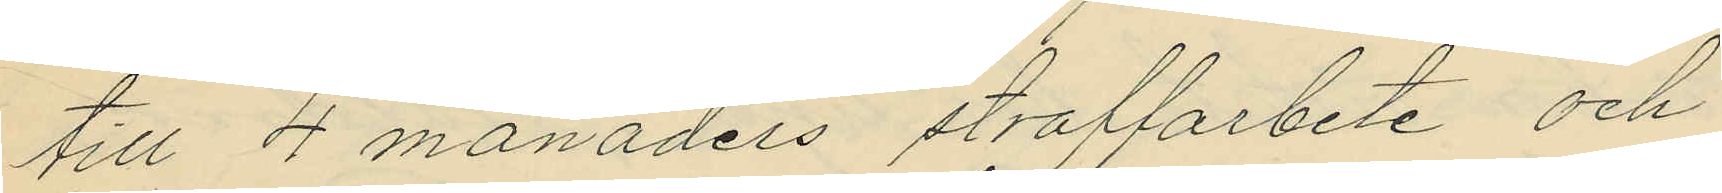till 4 månaders straffarbete och
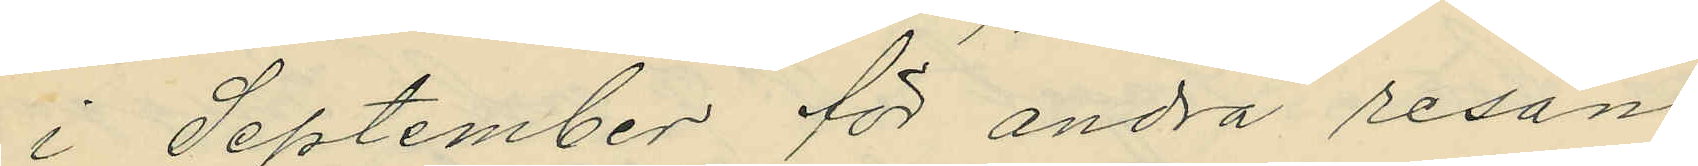i September för andra resan
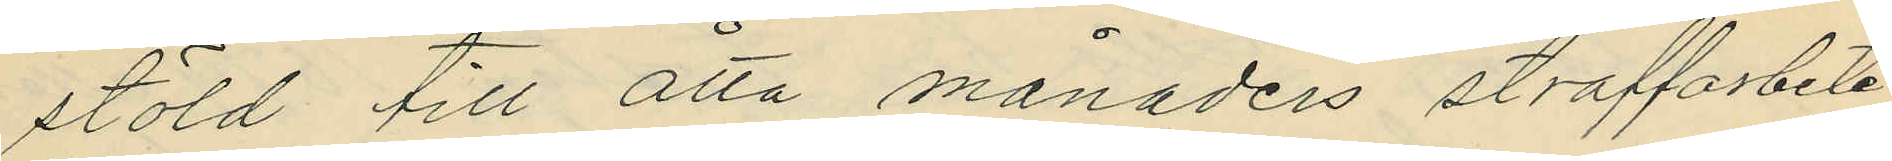stöld till åtta månaders straffarbete
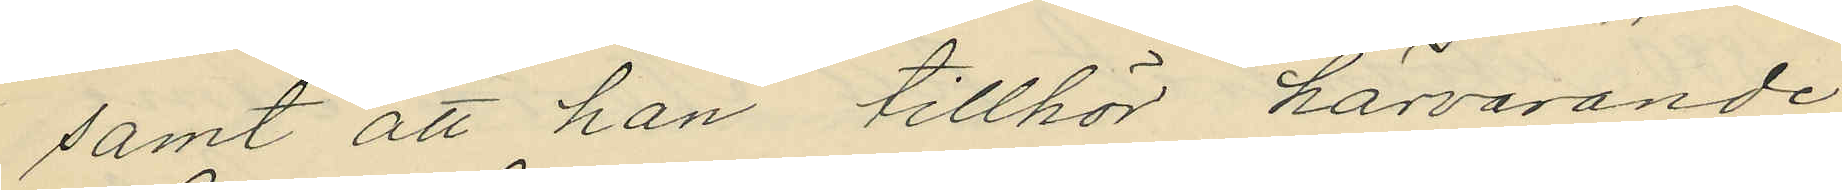samt att han tillhör härvarande
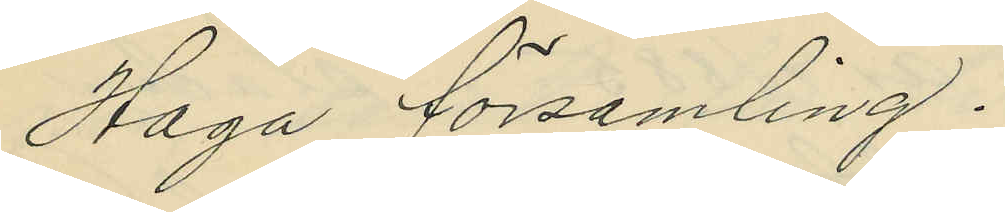Haga Församling.
